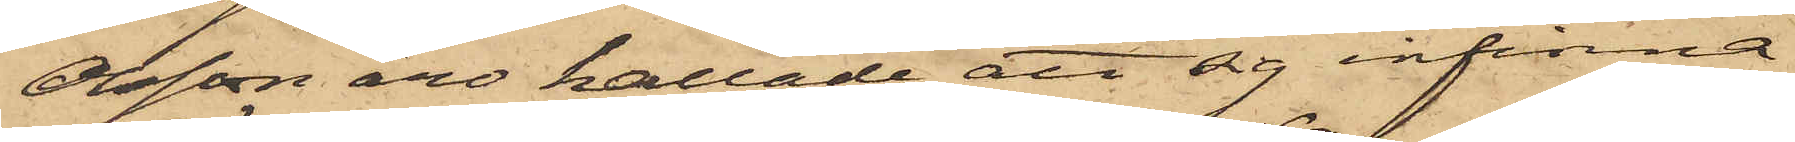Olsson äro kallade att sig infinna.
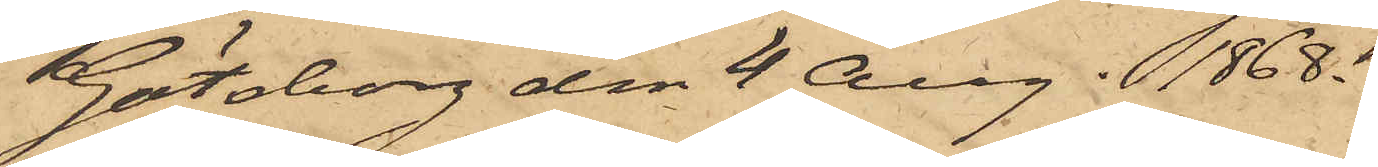Göteborg den 4 Aug. 1868.
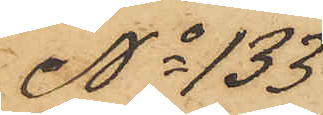No 133
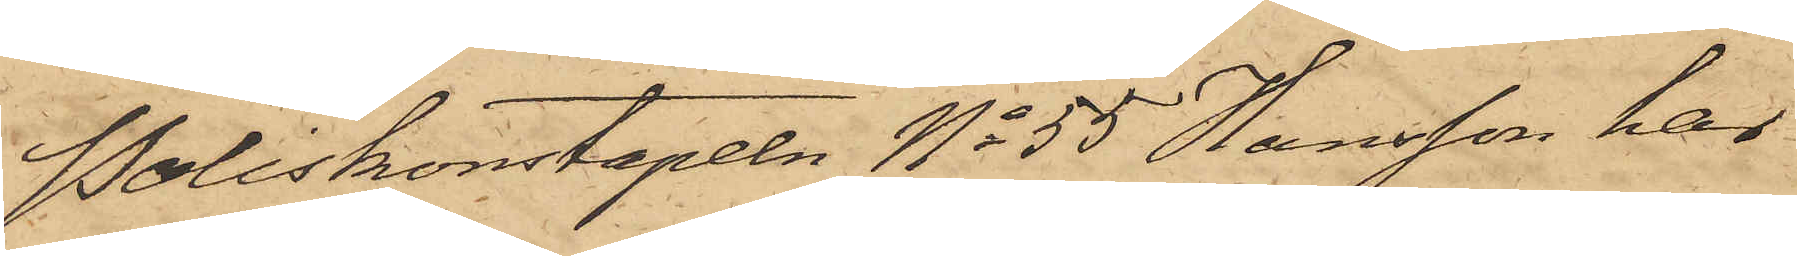Poliskonstapeln No 55 Hansson har
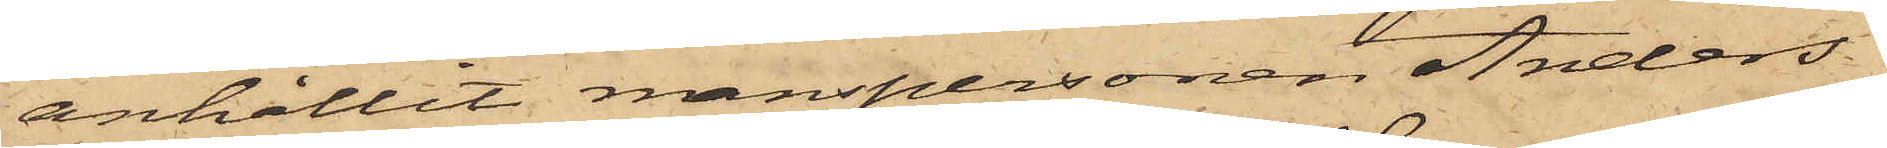anhållit manspersonen Anders
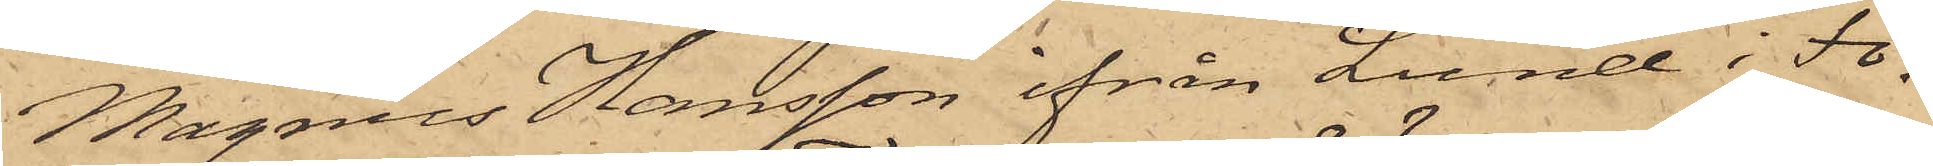Magnus Hansson ifrån Lund i Fo¬
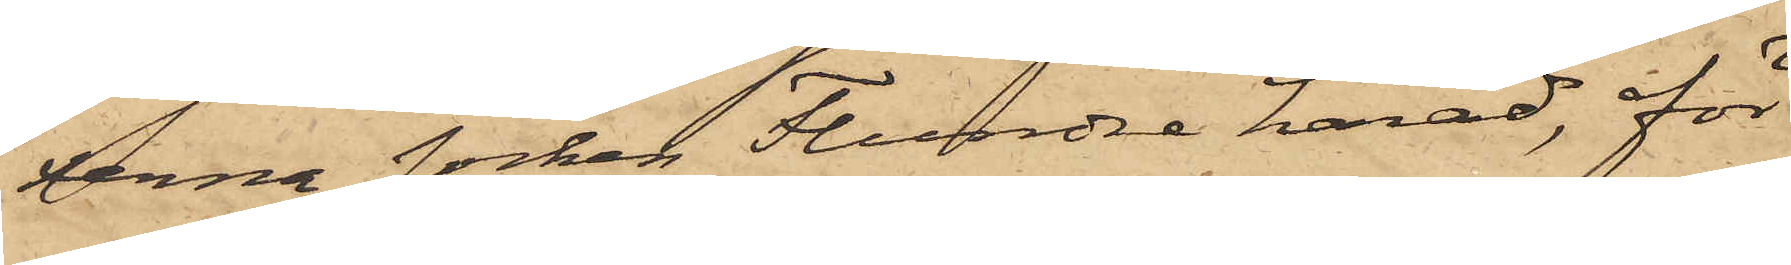xerna socken Flundre härad, för
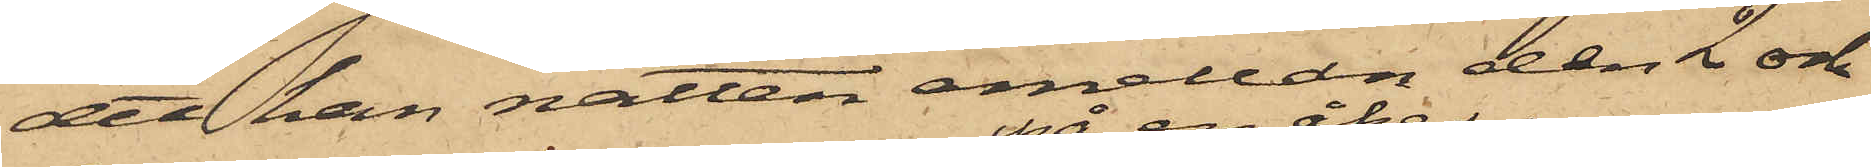det han natten emellan den 2 och
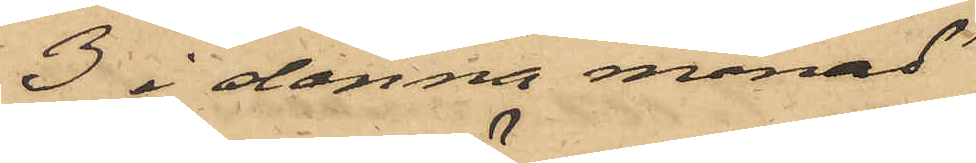3 i denna månad
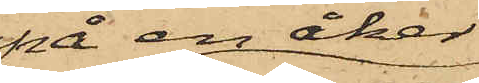på en åker
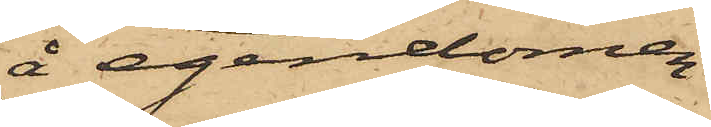å egendomen
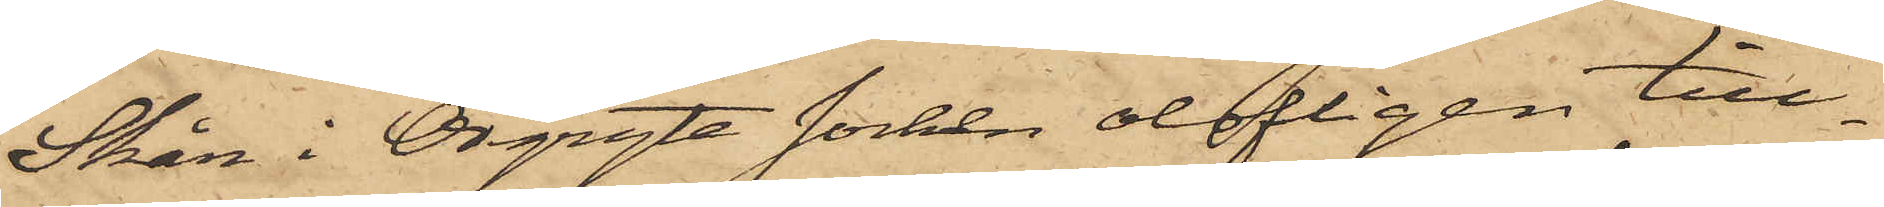Skår i Örgryte socken olofligen till¬
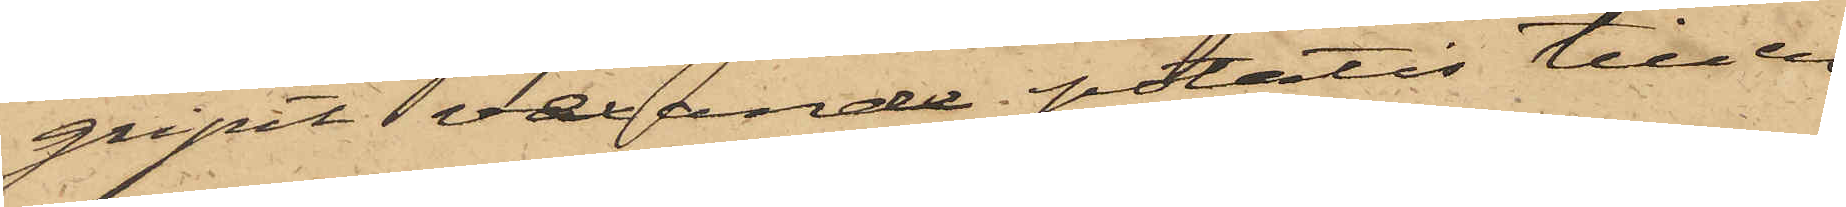gripit vexande potatis till en
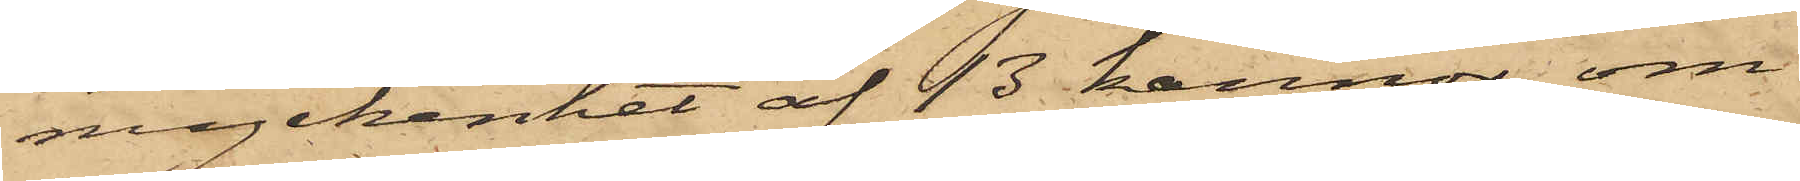myckenhet af 43 kannor, om
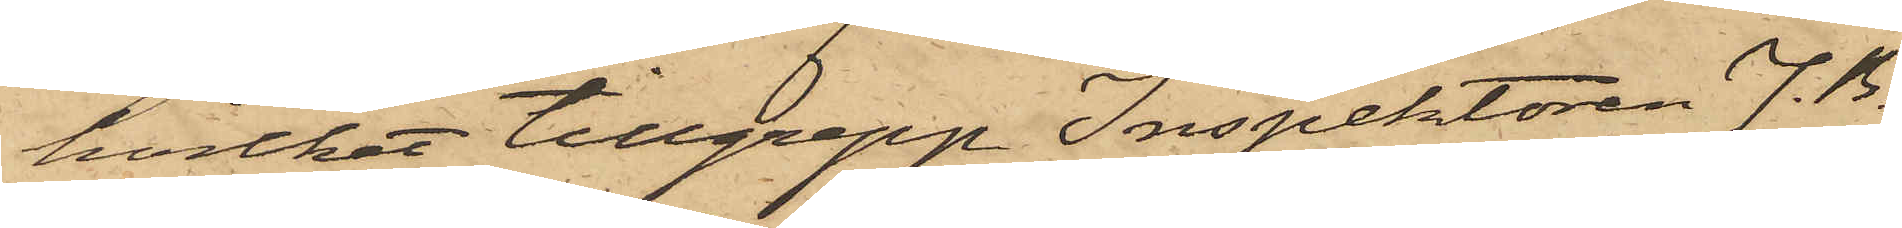hvilket tillgrepp Inspektoren J. B.
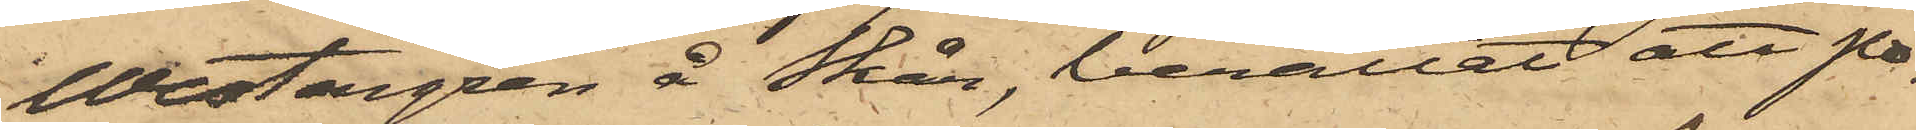Westergren å Skår, berättat att po¬
